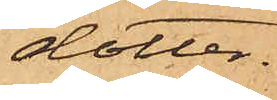dotter.
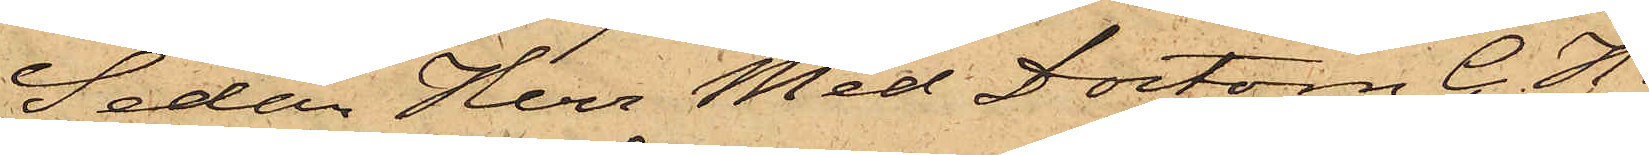Sedan Herr Med Doctorn C. H.
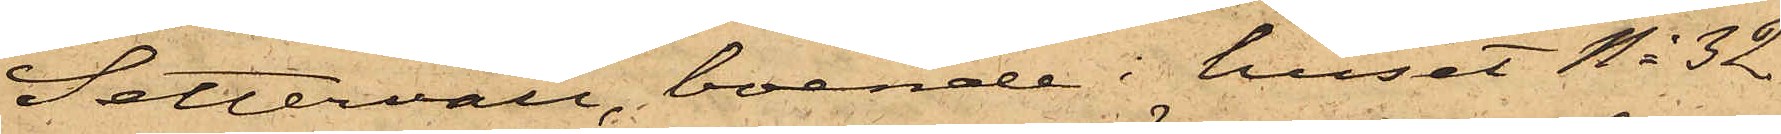Settervall, boende i huset No 32
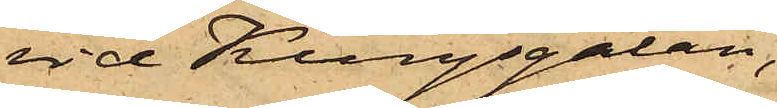vid Kungsgatan,
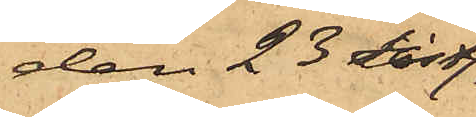den 23 sistl.
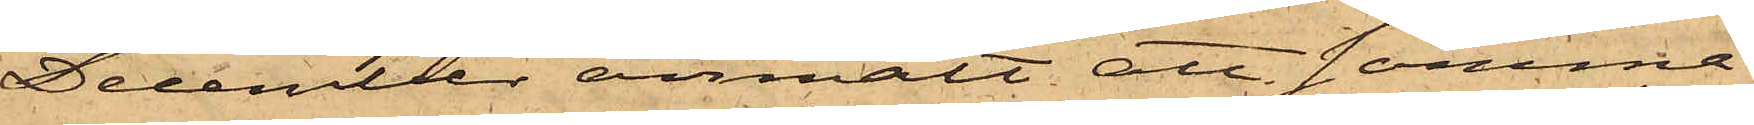December anmält att samma
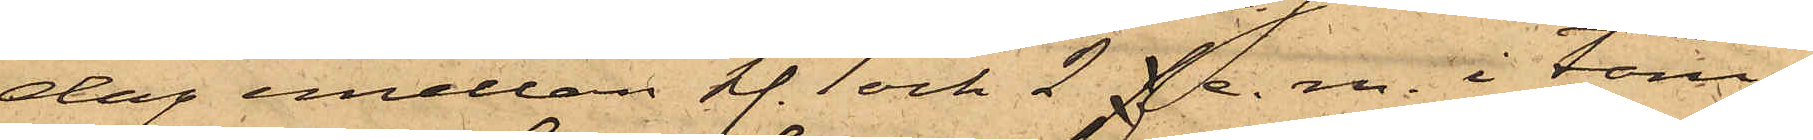dag emellan kl. 1 och 2 f  e. m. i tam¬
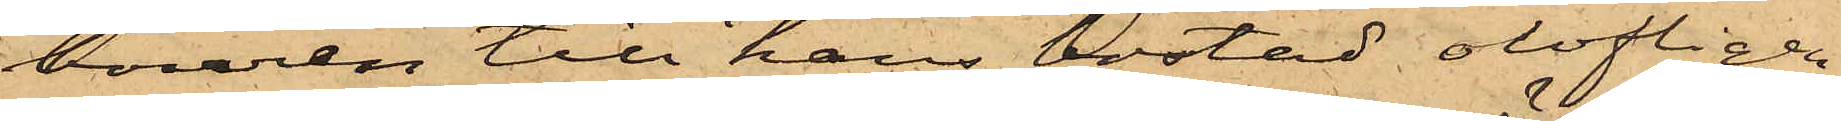bouren till hans bostad olofligen
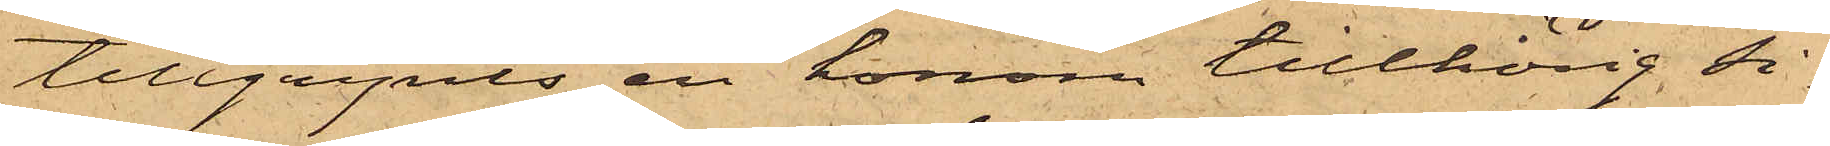tillgripits en honom tillhörig si¬
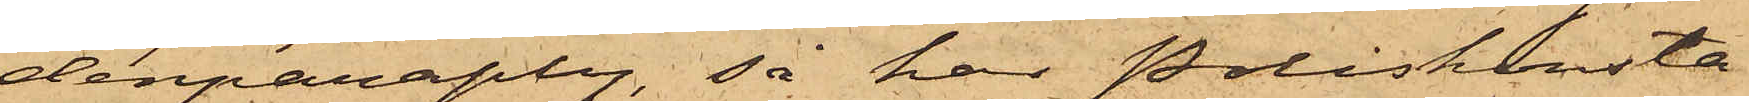denparaply, så har Poliskonsta¬
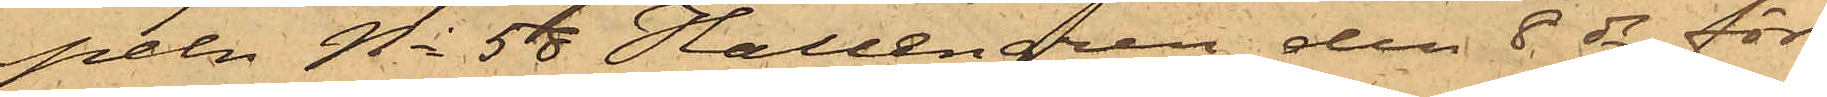peln No 58 Hallengren den 8 ds för
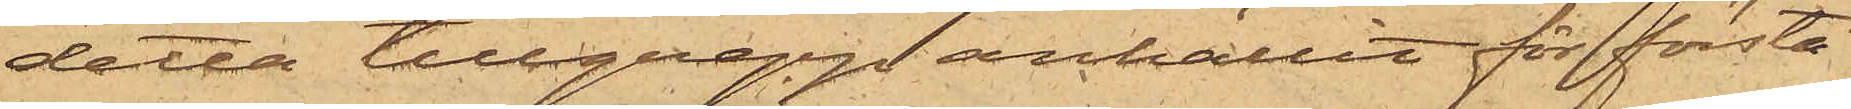detta tillgrepp anhållit för första
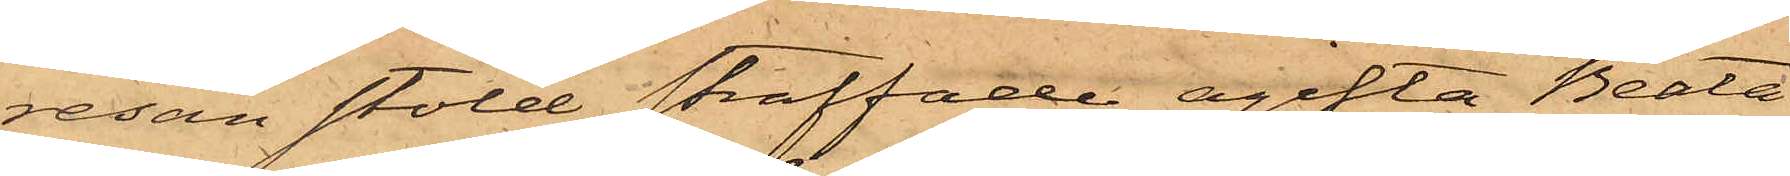resan stöld straffade ogifta Beata
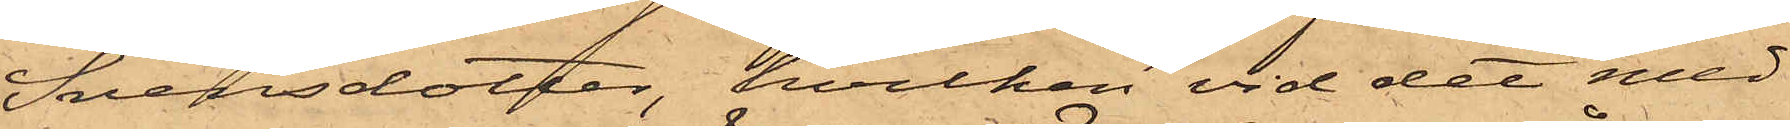Svensdotter, hvilken vid det med
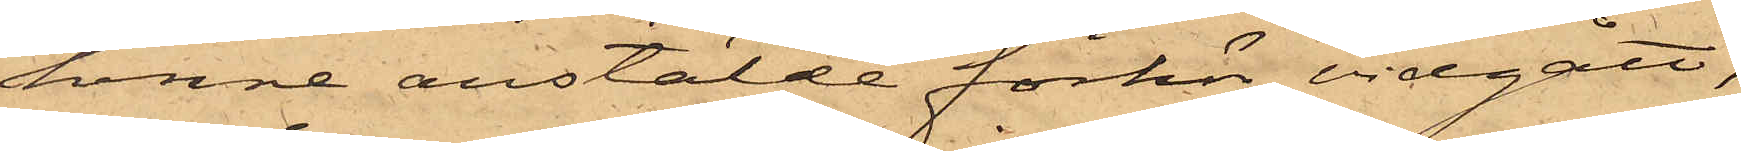henne anstälde förhör vidgått,
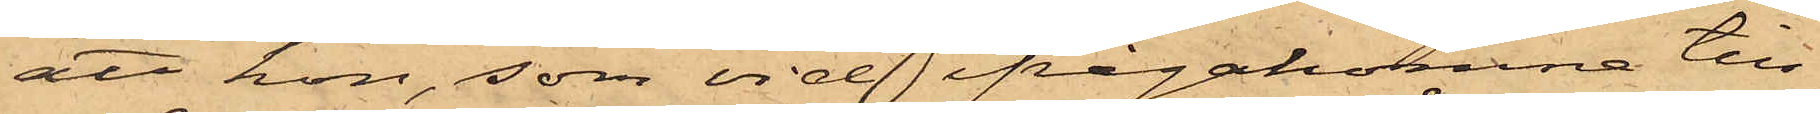att hon, som vid ifrågakomne till¬
